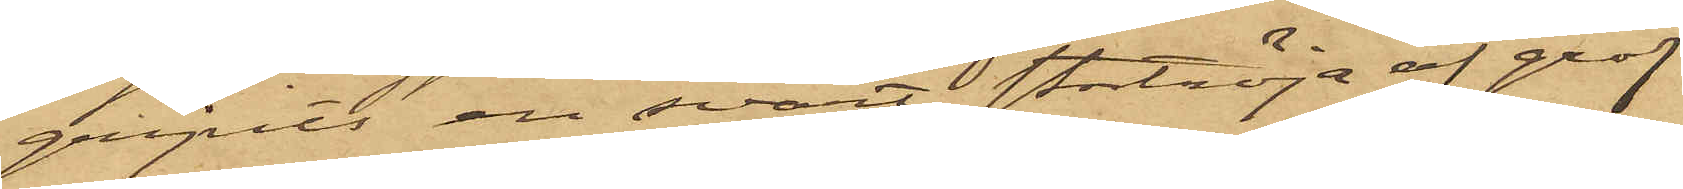gripits en svart stortröja af grof
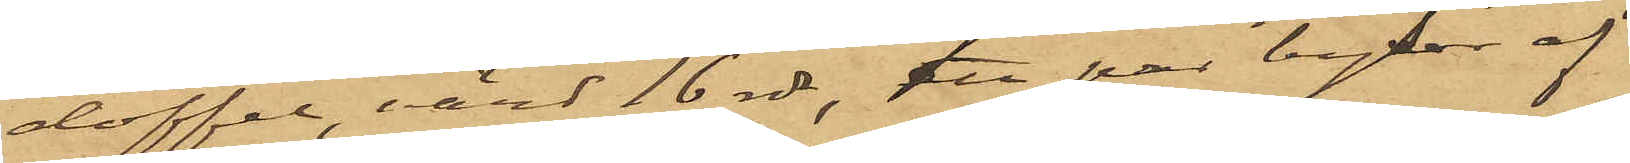doffel, värd 16 rdr, att par byxor af
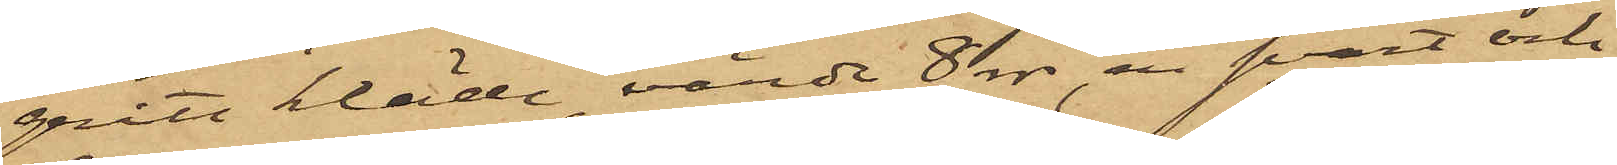grått kläde, värde 8 rdr, en svart och
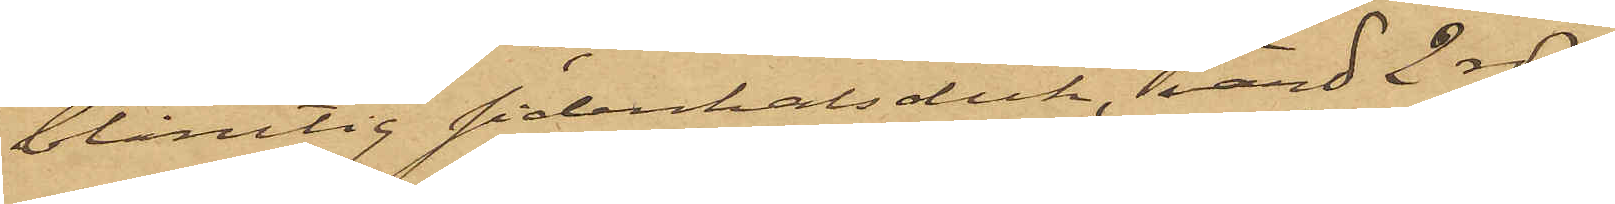blårutig sidenhalsduk, värd 2 rdr,
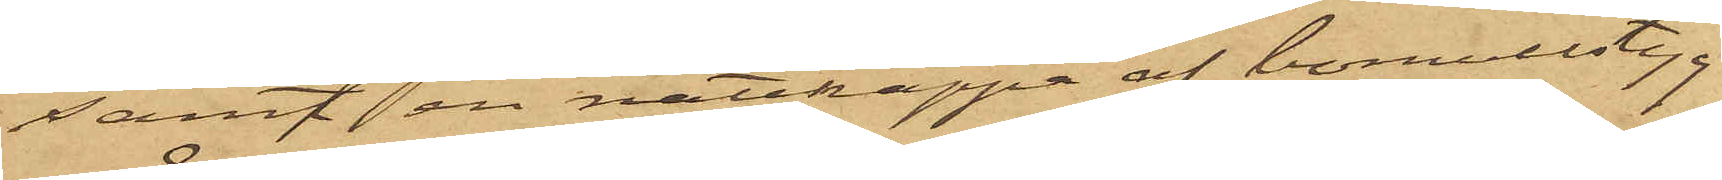samt en nattkappa af bomullstyg
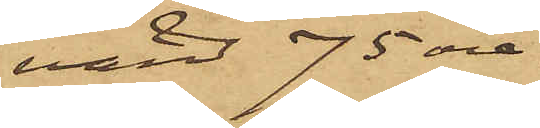värd 75 öre.
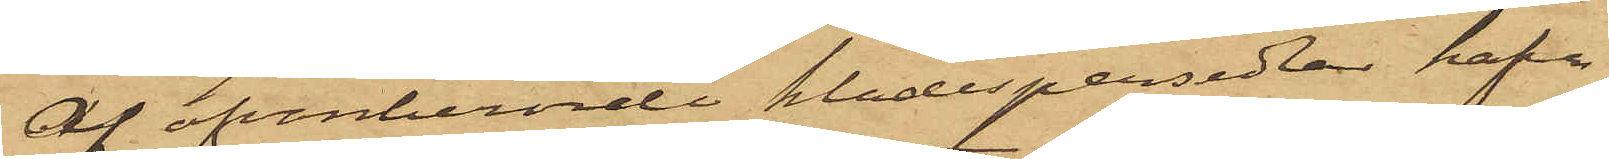Af ofvanberörde klädespersedlar hafva
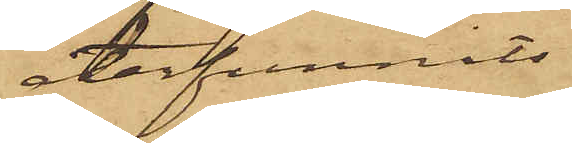återfunnits
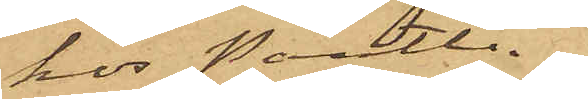hos Pantlå¬
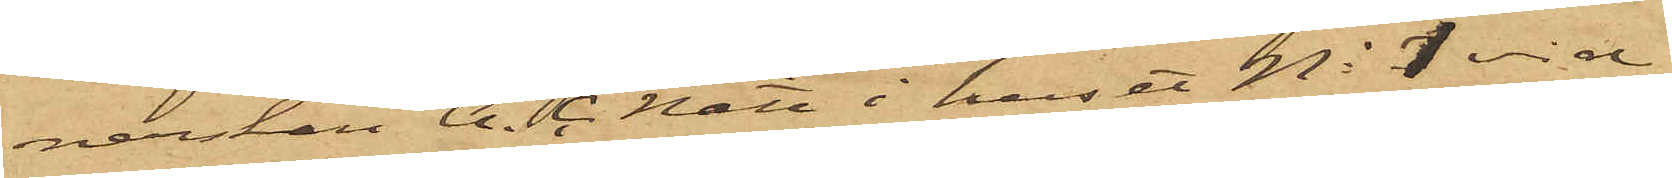nerskan A. C. Nätt i huset No 1 vid
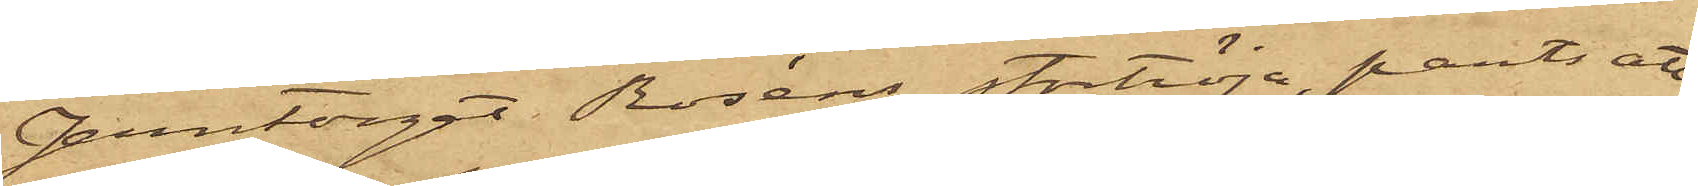Jerntorget Roséns stortröja, pantsatt
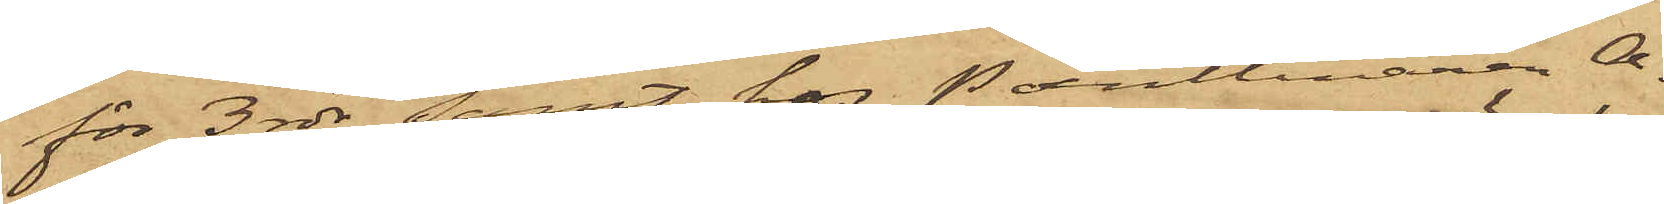för 3 rdr, samt hos Pantlånaren A.
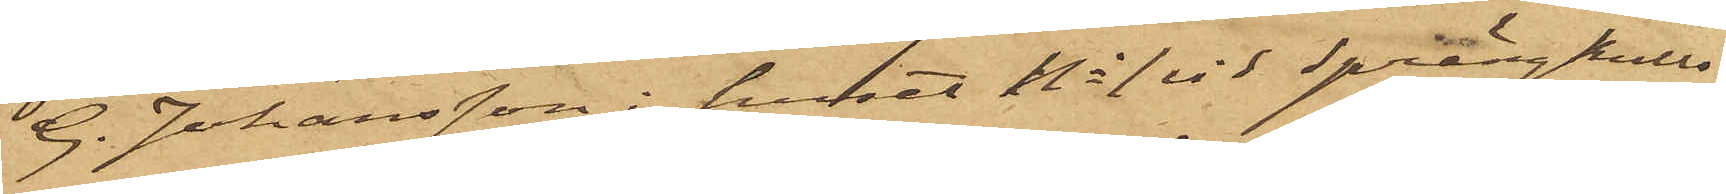G. Johansson i huset No 1 vid Sprängkulls¬
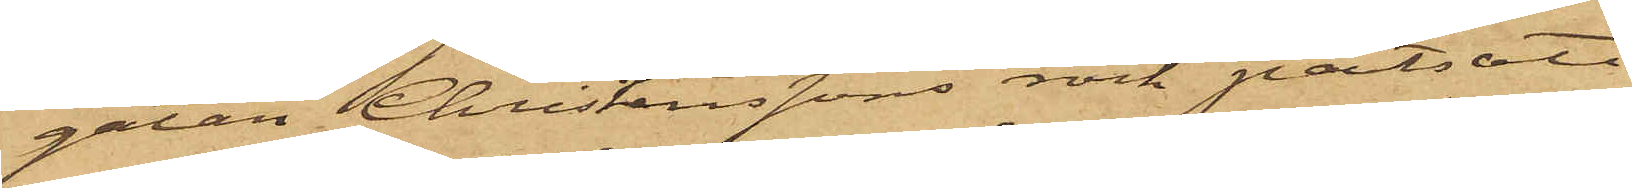gatan Christenssons rock pantsatt
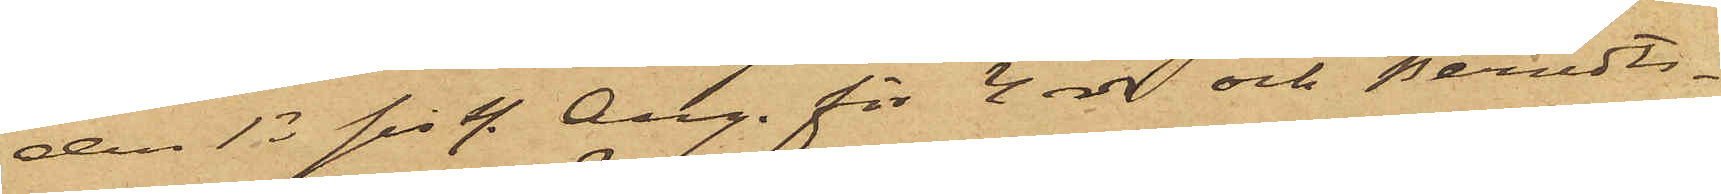den 13 sist. Aug. för 4 rdr och Berndts¬
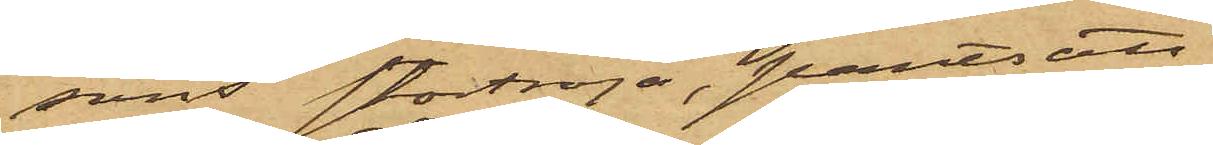sons stortröja, pantsatt
